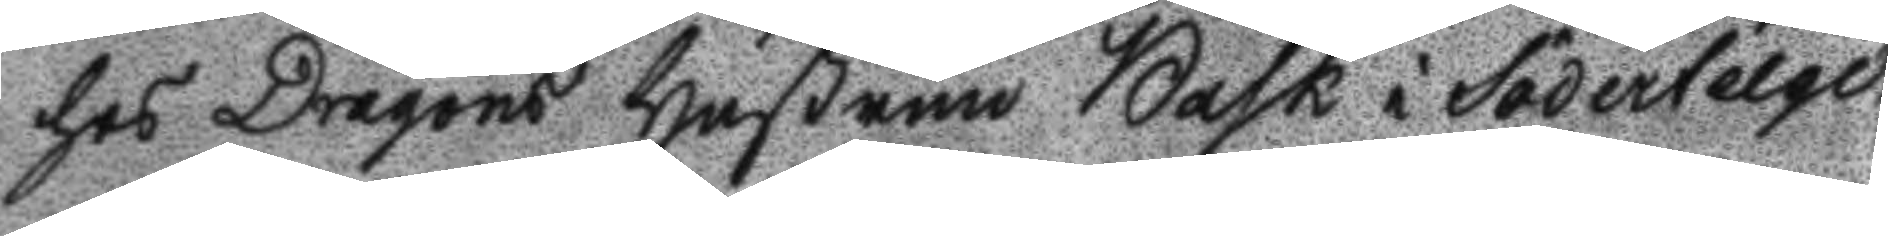hos Dragons Hustrun Bask i Södertelge,
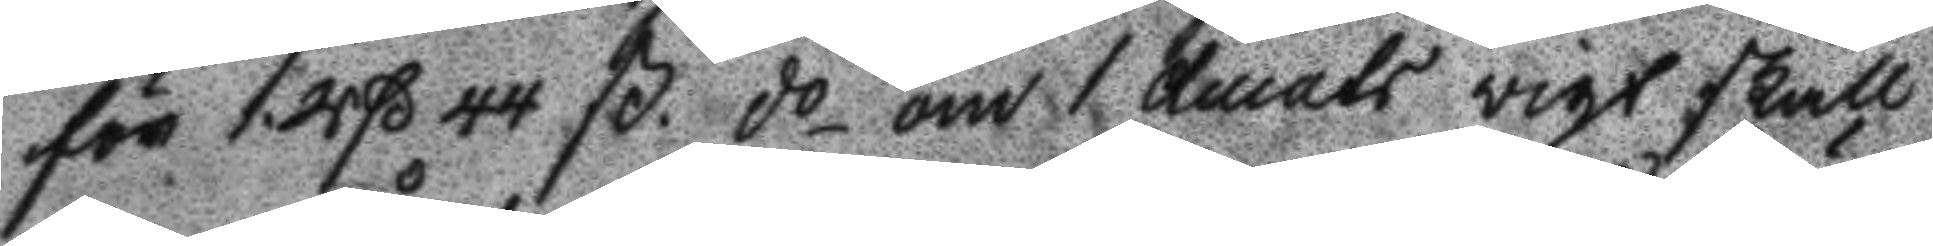för 1 Rß 44 ß do om 1 ducats vigt skall
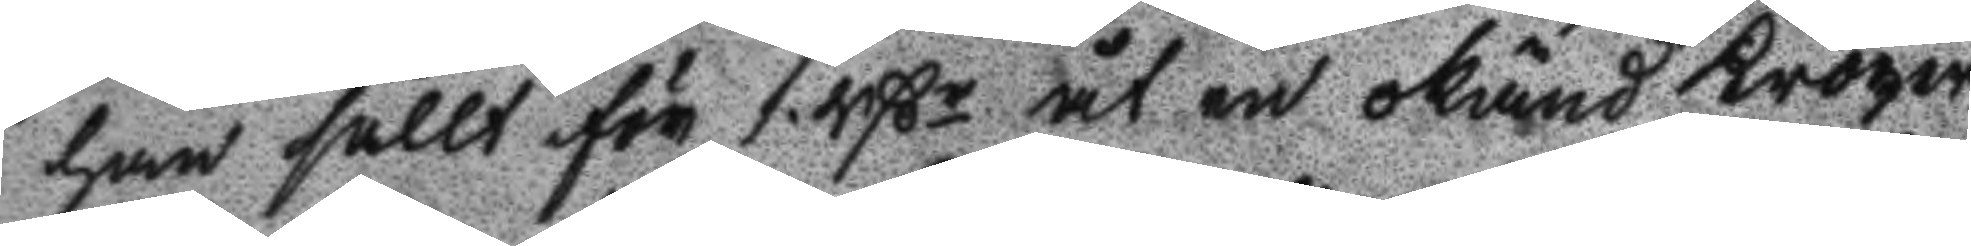han sållt för 1 Rßr åt en okänd Kröger
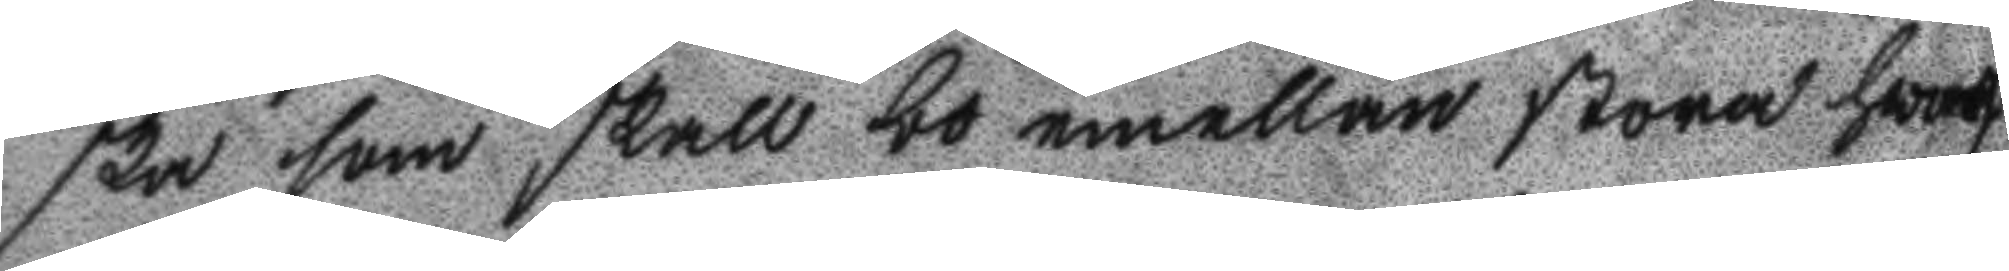ska som skall bo emellan stora hwarf
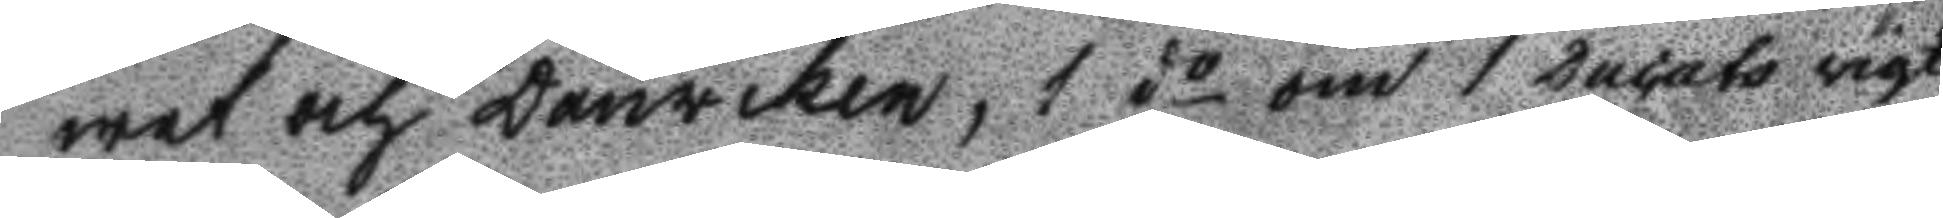wet och Danviken, 1 do om 1 Ducats vigt
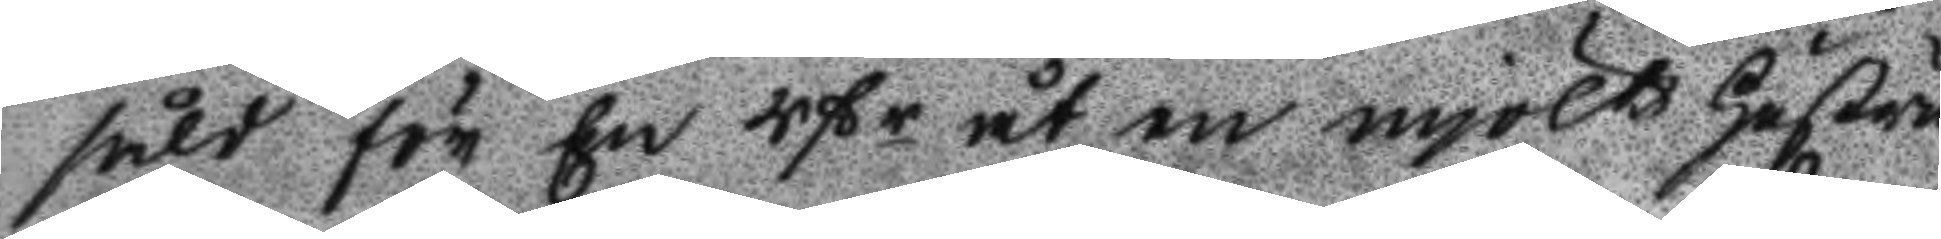sålt för En Rßr åt en mjölks Hustru
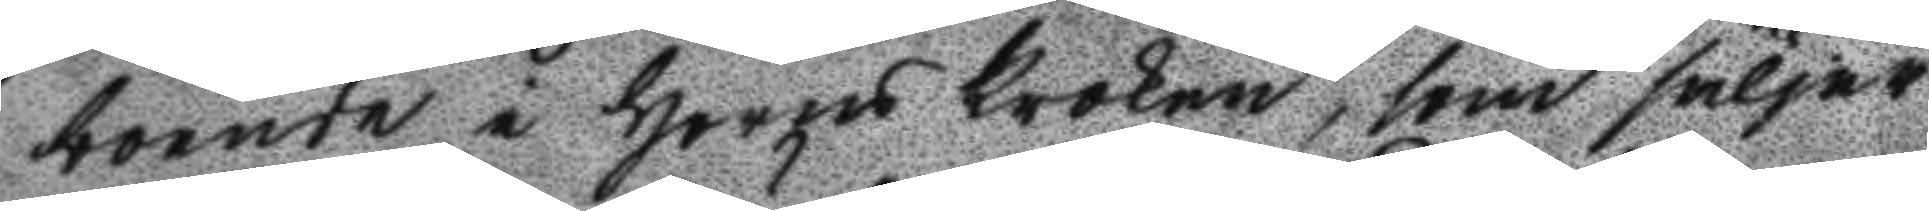boende i Horns Kroken, som säljer
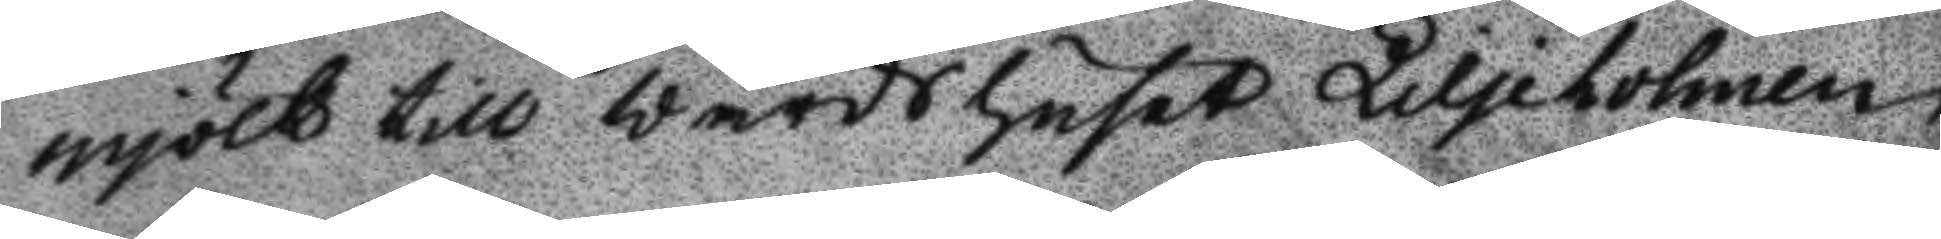mjölk till Wärdshuset liljeholmen
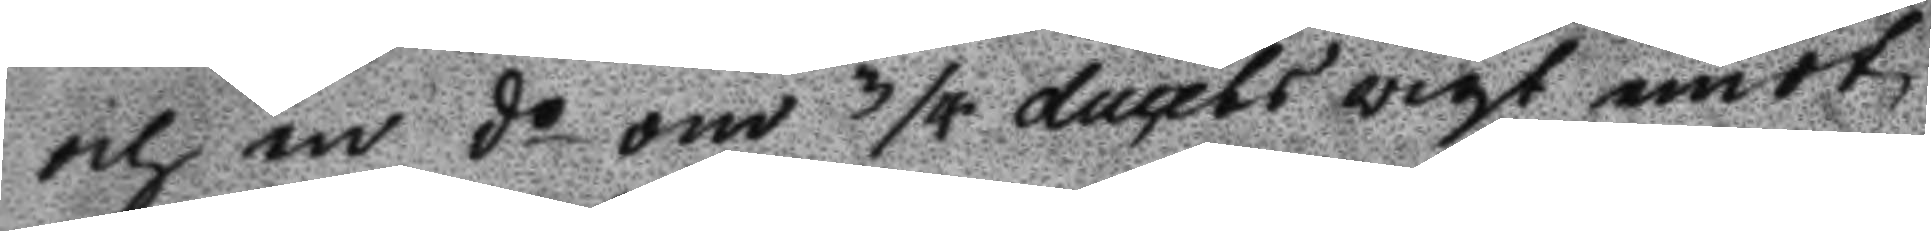och en do om 3/4 ducats vigt emot
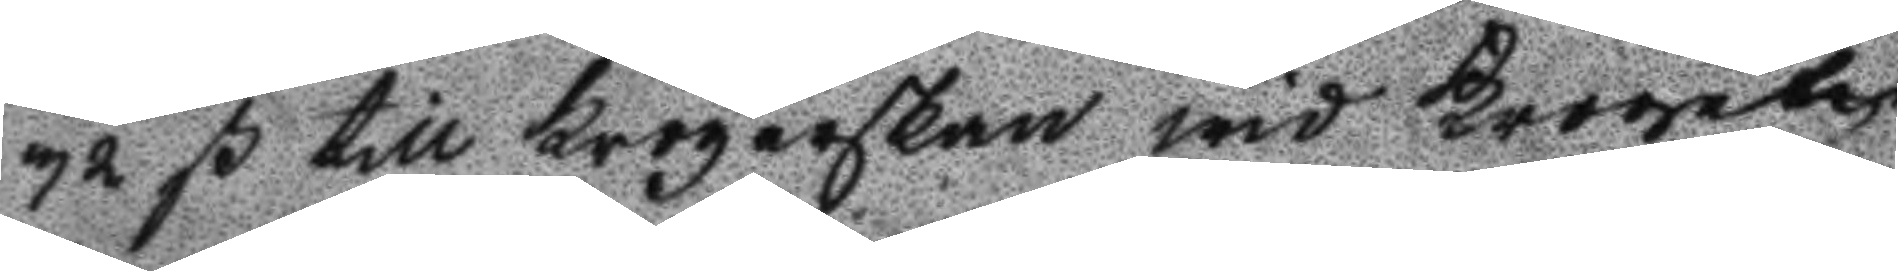32 ß till Krögerskan wid Krogeta
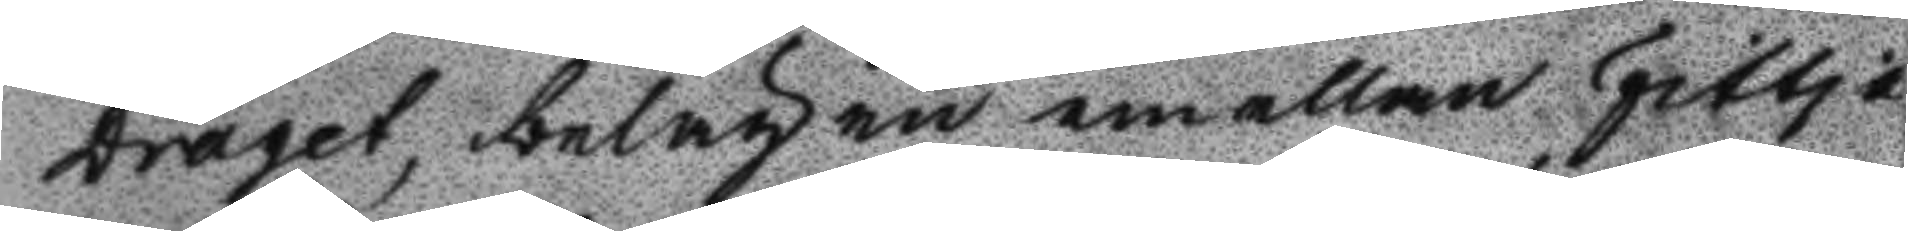Draget, belägen emellan Fittja
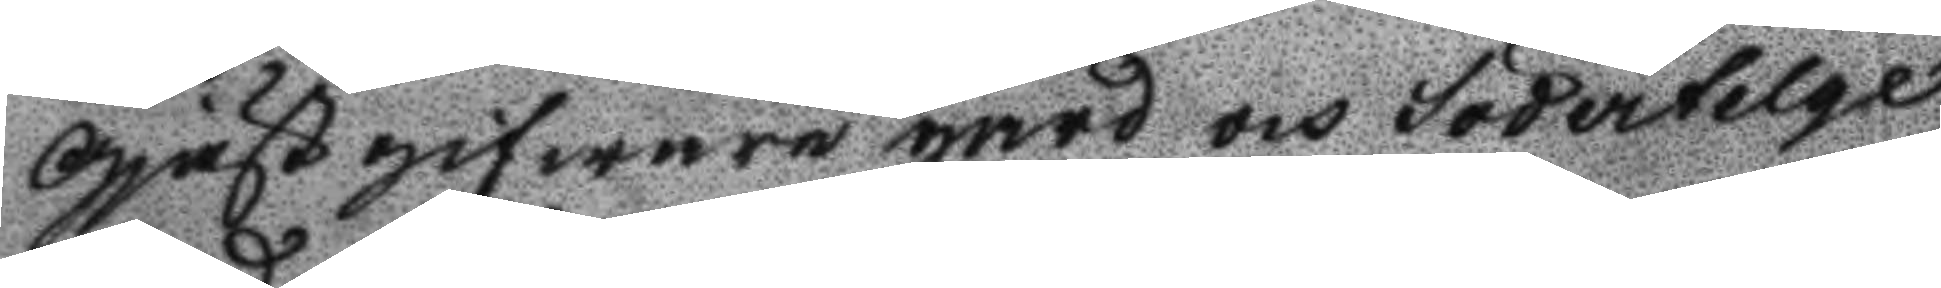Gjästgifwaregård och Södertelge
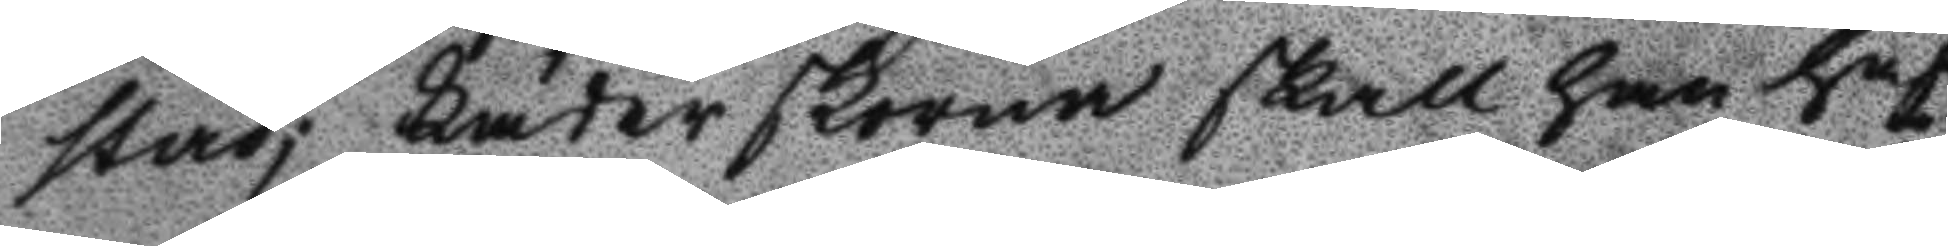stad; läderskorna skall han haf
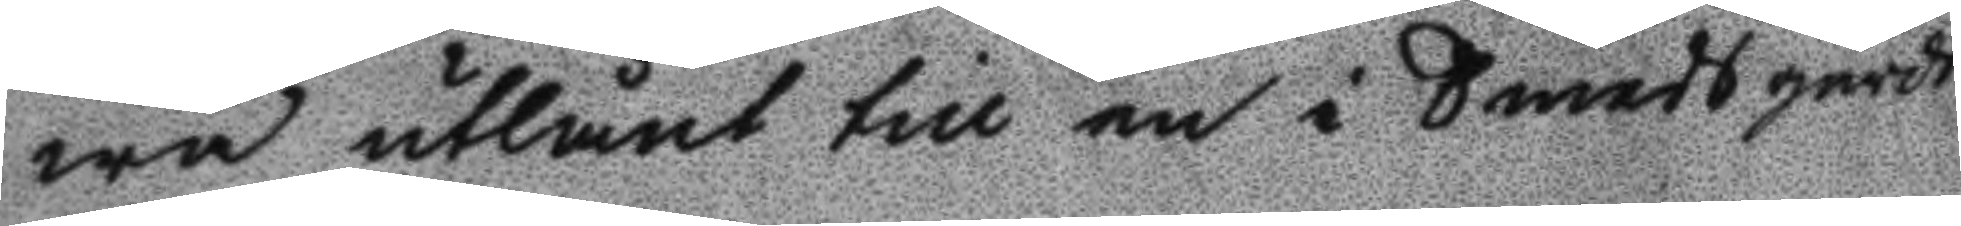wa utlånt till en i Smedsgårds
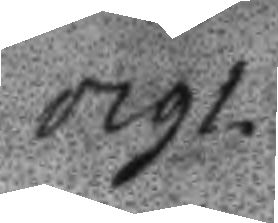1791.
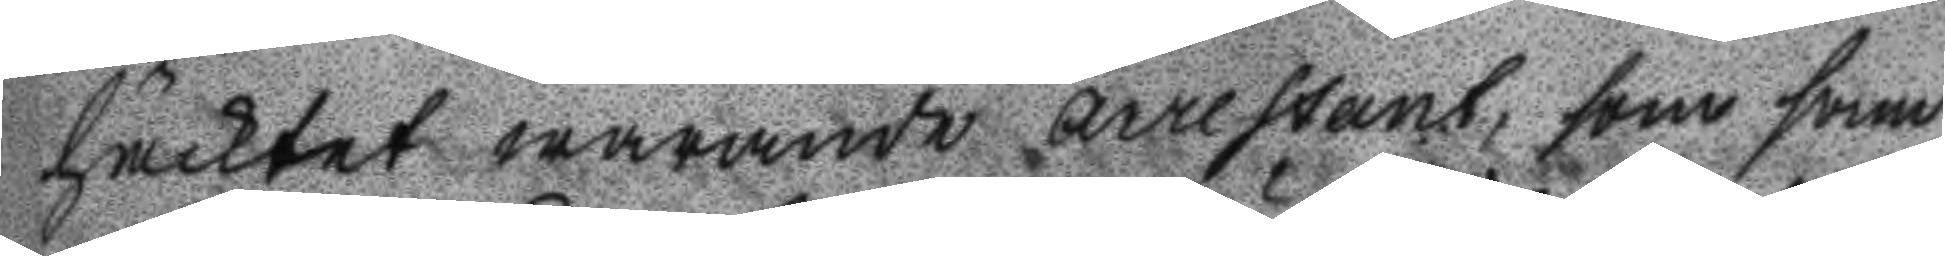häcktet warande arrestant, som sam
